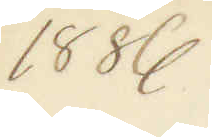1886
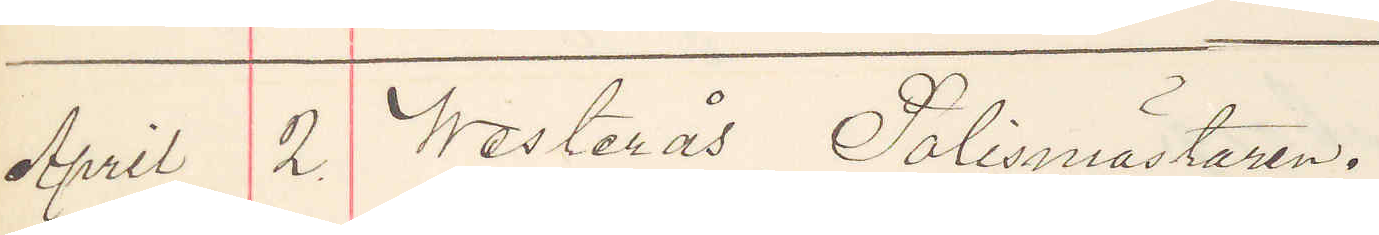April 2. Westerås Polismästaren.
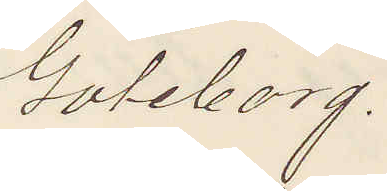Göteborg.
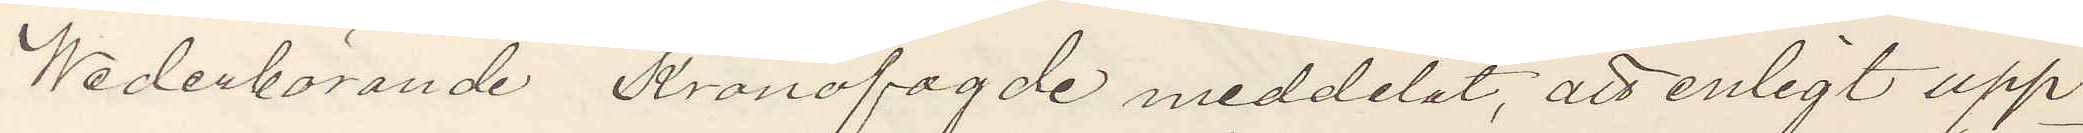Wederbörande Kronofogde meddelat, att enligt upp¬
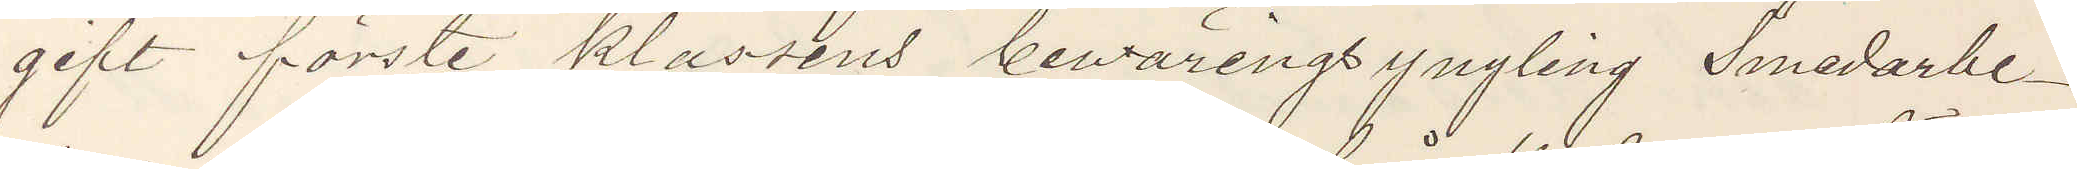gift förste klassens bewäringsyngling Smedarbe¬
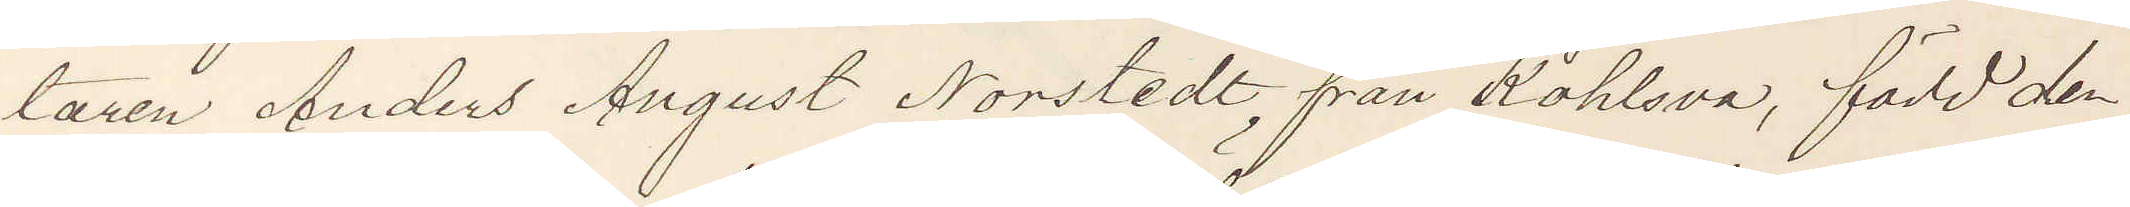taren Anders August Norstedt, från Kohlsva, född den
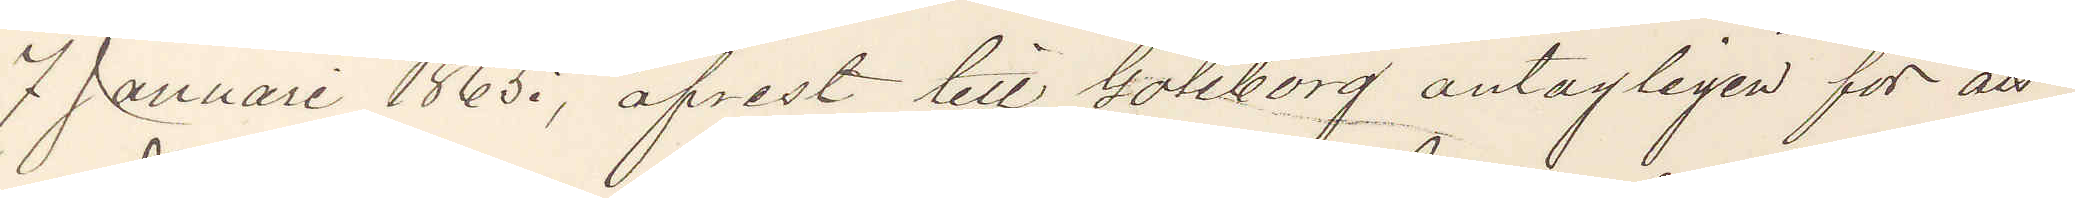7 Januari 1865, afrest till Göteborg antagligen för att
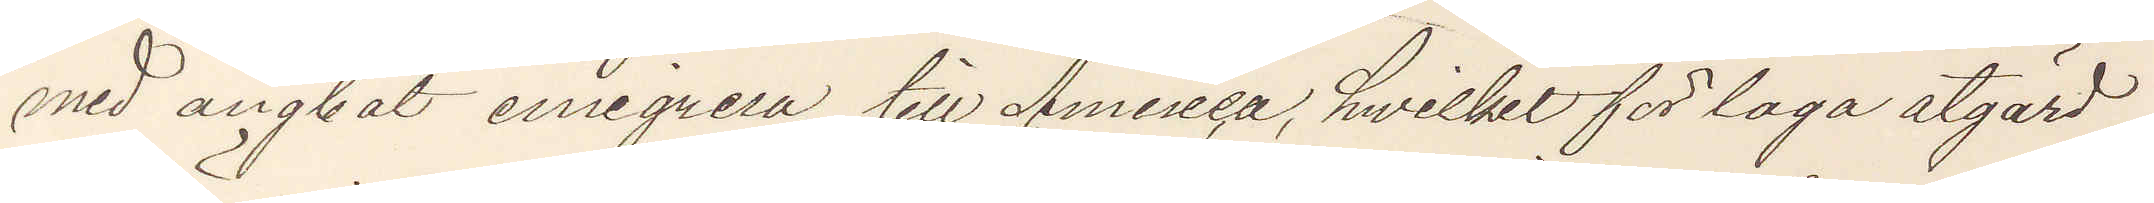med ångbat emigrera till America, hwilket för laga åtgärd
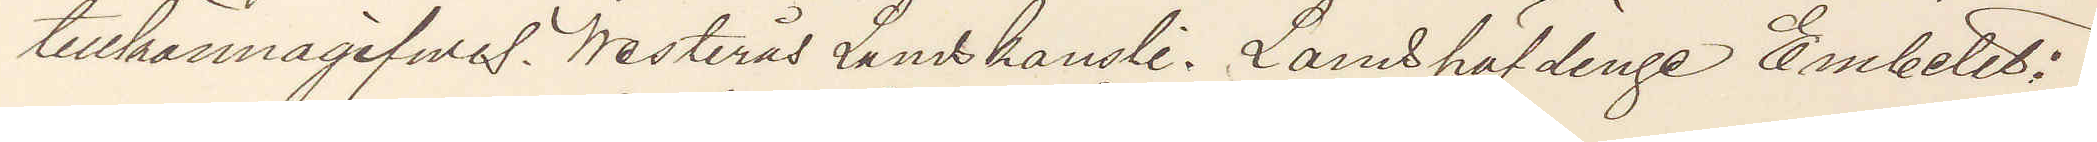tillkännagifwes. Westerås Landskansli. Landshöfdinge Embetet;
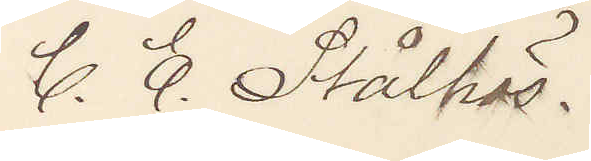C. E. Stålhäs.
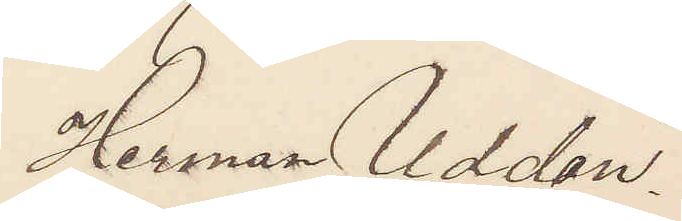Herman Uddén.
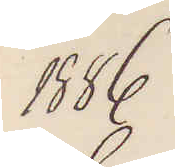1886
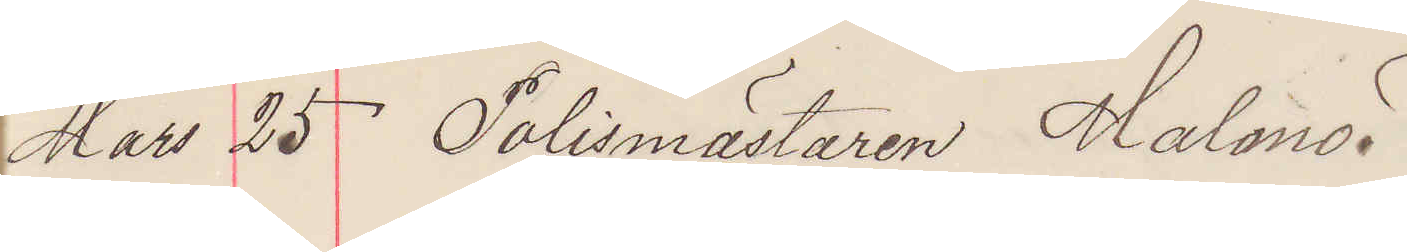Mars 25 Polismästaren Malmö.
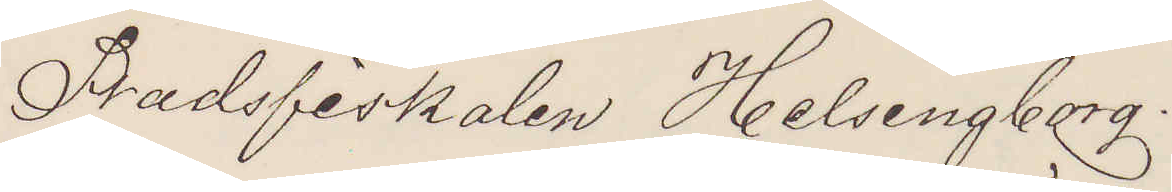Stadsfiskalen Helsingborg.
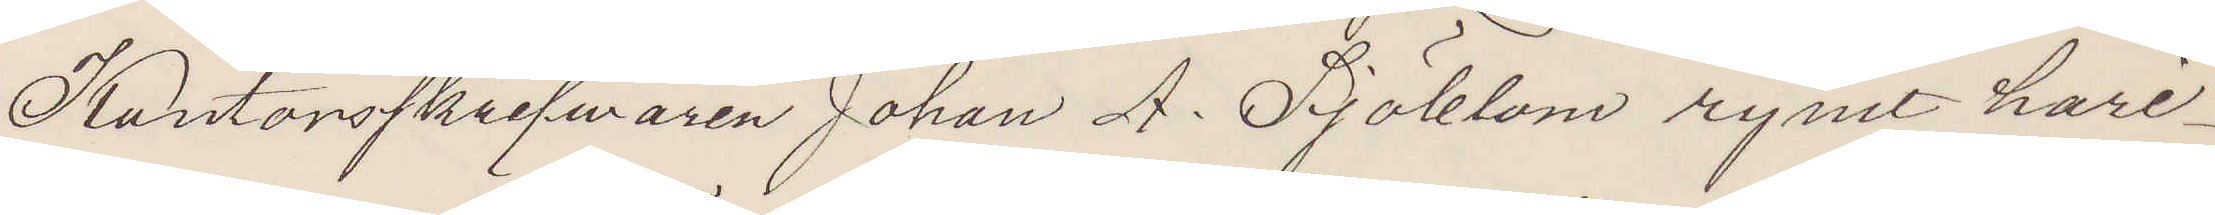Kontorsskrifwaren Johan A. Sjöblom rymt häri¬
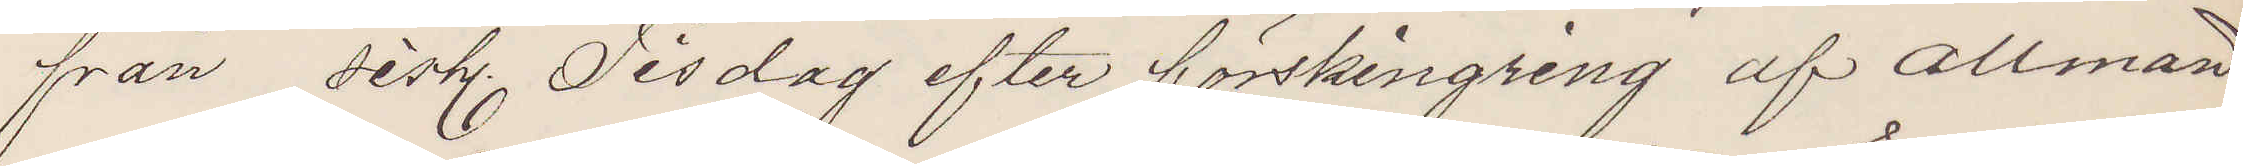från sist. Tisdag efter förskingring af allmän¬
